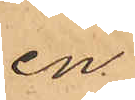en
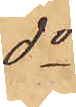do
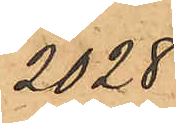2028
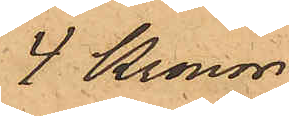4 Kronor
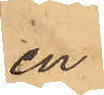en
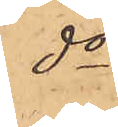do
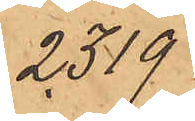2319
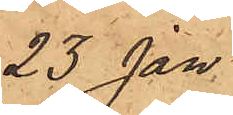23 Jan
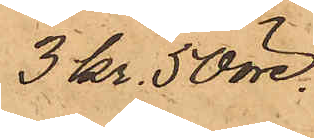3 Kr. 50 öre.
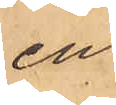en
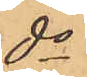do
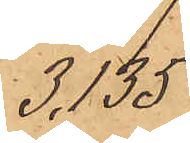3,135
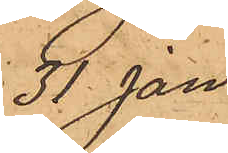31 Jan
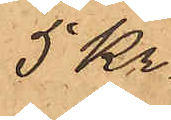5 Kr
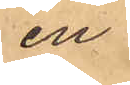en
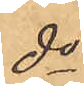do
